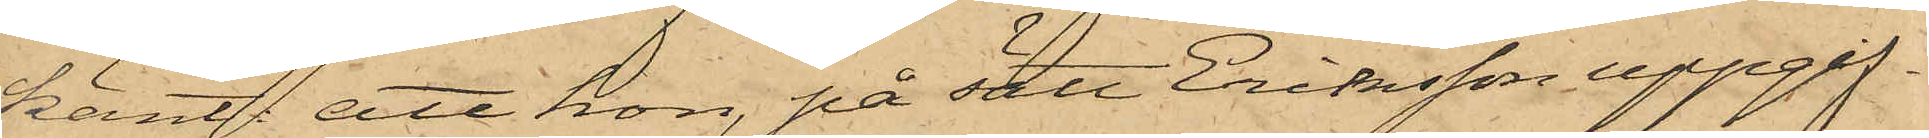känt; att hon, på sätt Eriksson uppgif¬
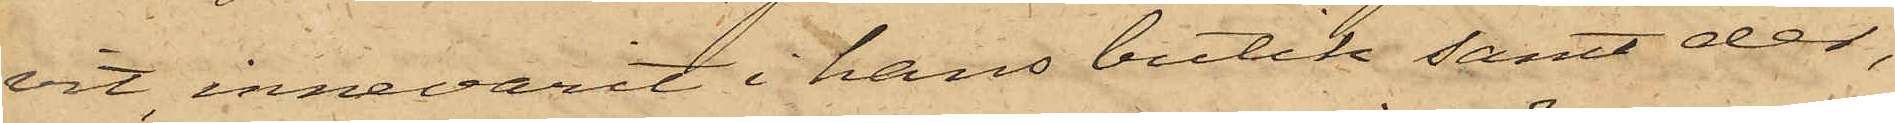vit, innevarit i hans butik samt der,
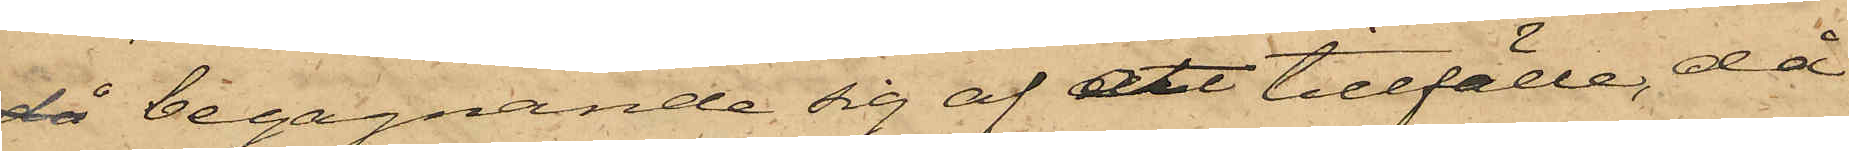då begagnande sig af ett tillfälle, då
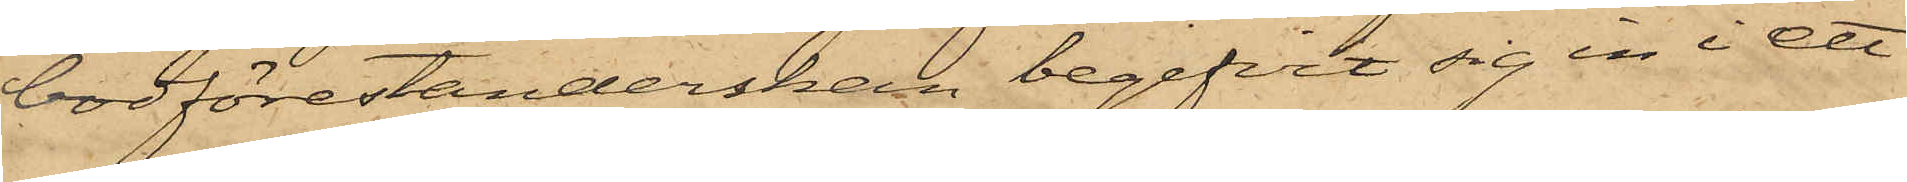bodförestånderskan begifvit sig in i ett
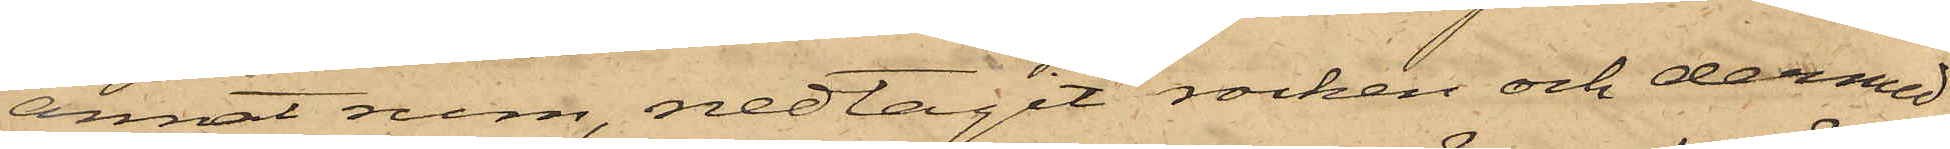annat rum, nedtagit rocken och dermed
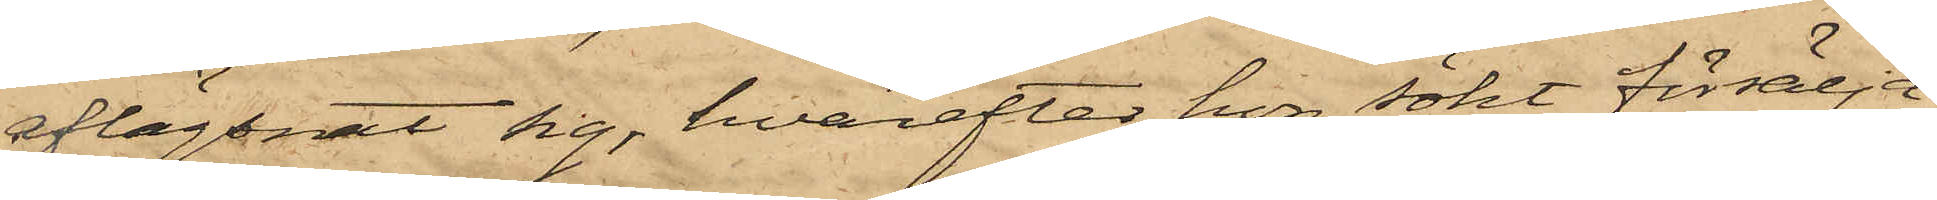aflägsnat sig, hvarefter hon sökt försälja
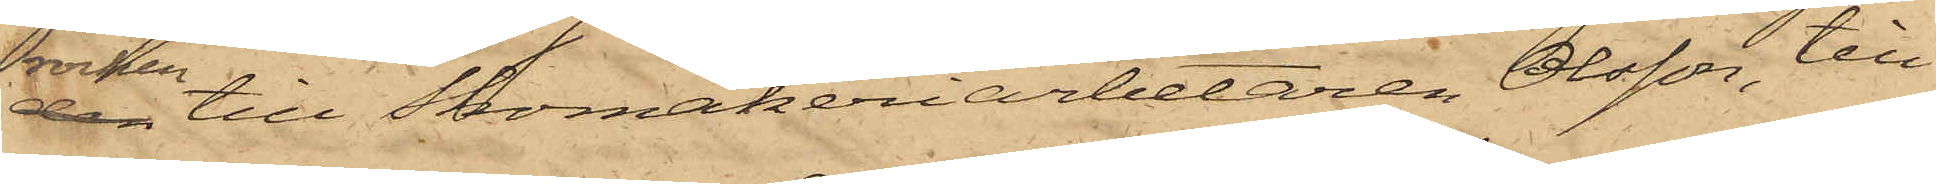rocken till Skomakeriarbetaren Olsson, till
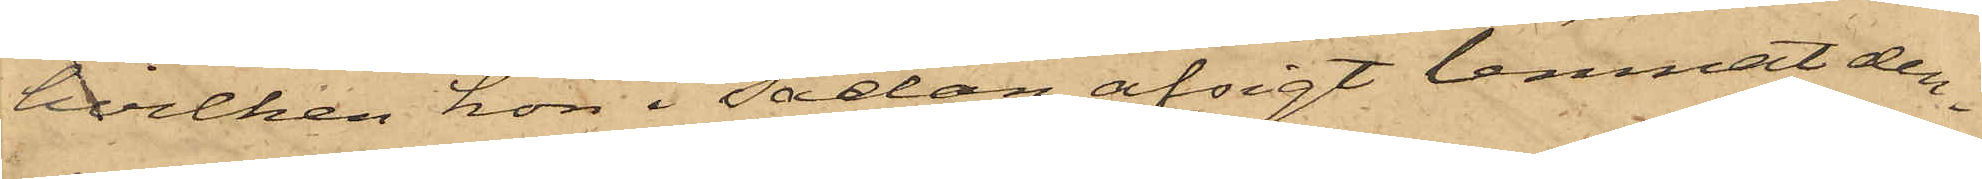hvilken hon i sådan afsigt lemnat den¬
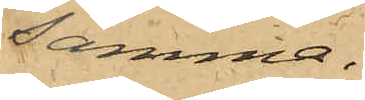samma.
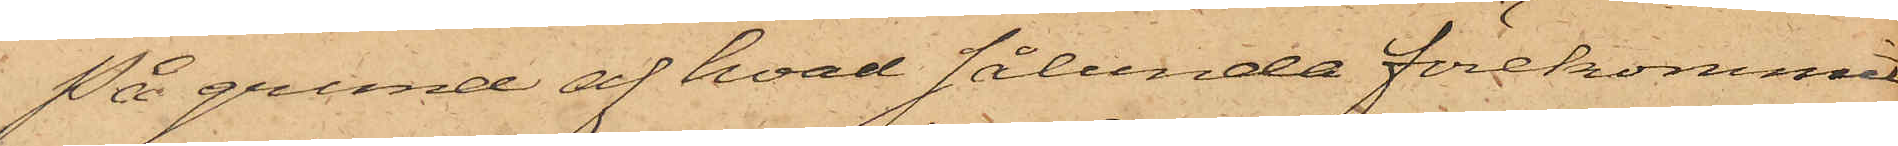På grund af hvad sålunda förekommit
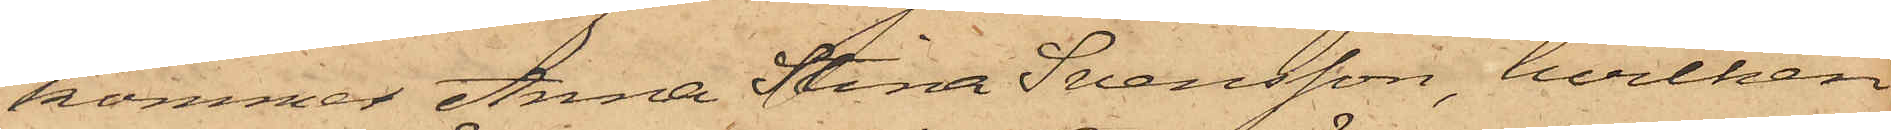kommer Anna Stina Svensson, hvilken
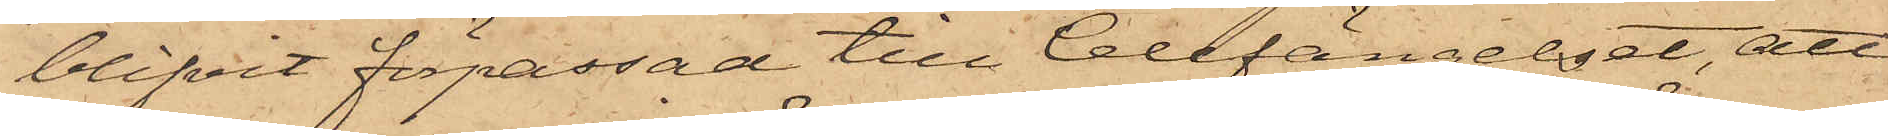blifvit förpassad till Cellfängelset, att
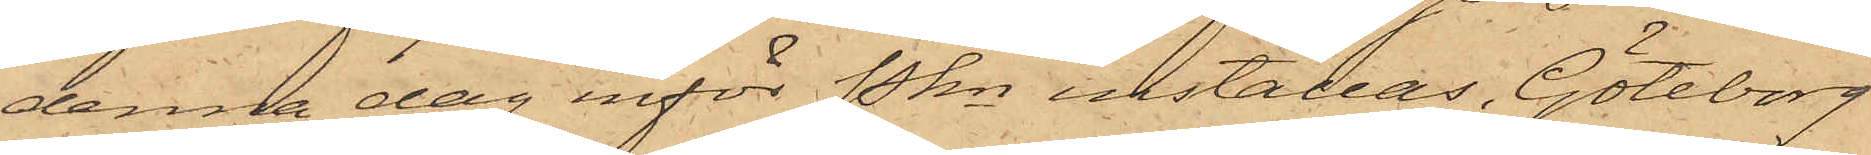denna dag inför Pkn inställas. Göteborg
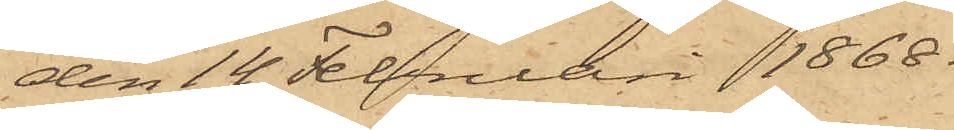den 14 Februari 1868.
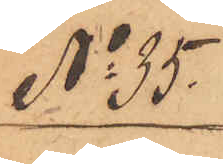No 35.
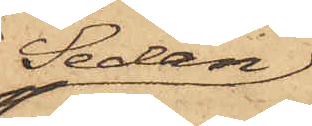Sedan
